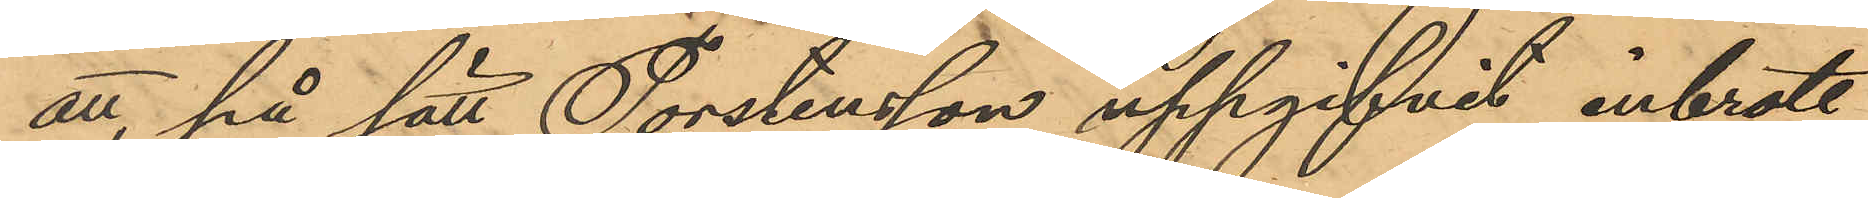att, på sätt Torstensson uppgifvit, inbrott
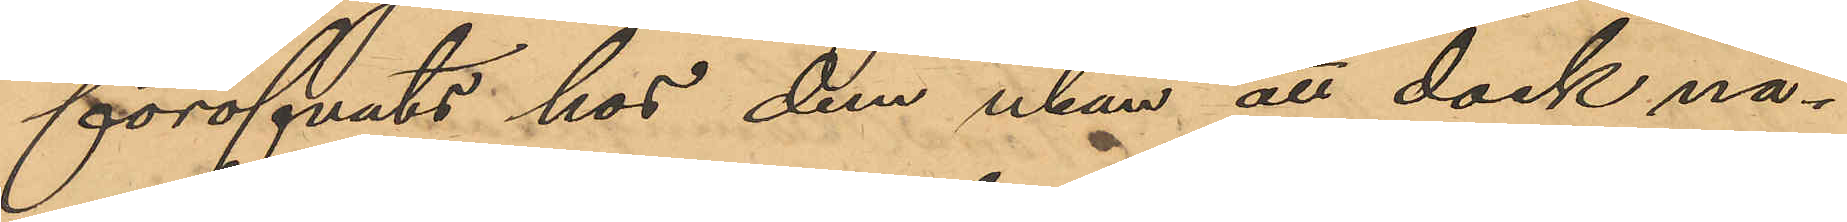föröfvats hos dem utan att dock nå¬
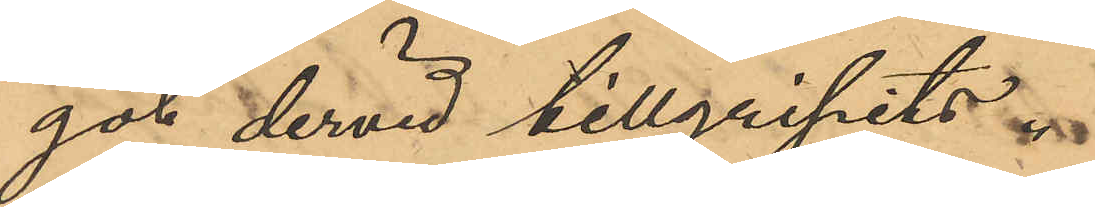got dervid tillgripits.
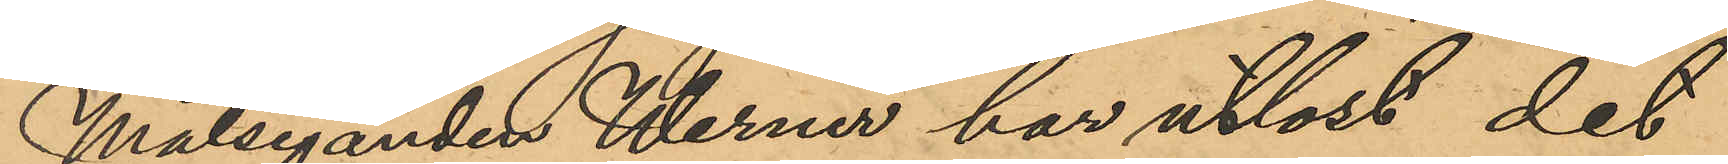Målseganden Werner har utlöst det
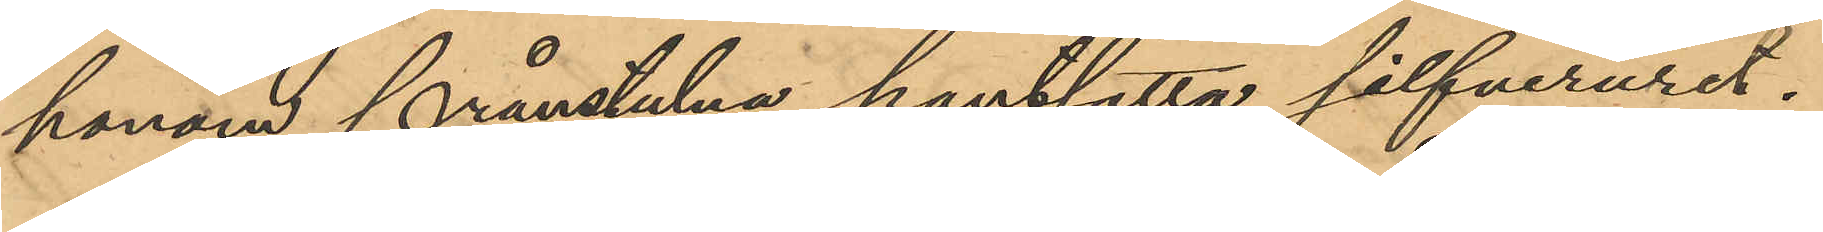honom frånstulna pantsatta silfveruret.
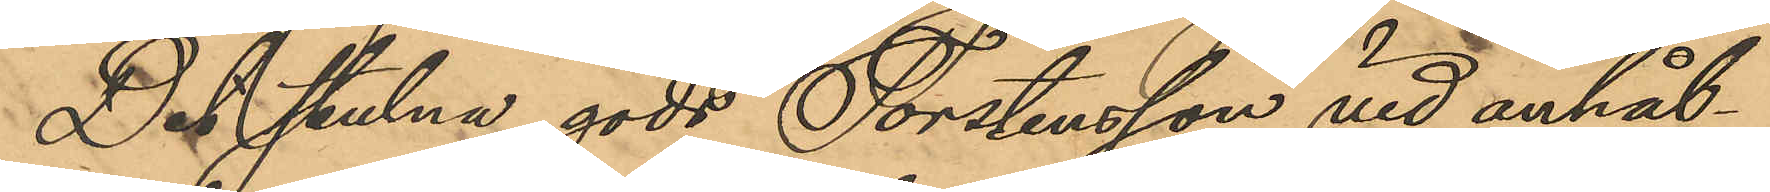Det stulna gods Torstensson vid anhål¬
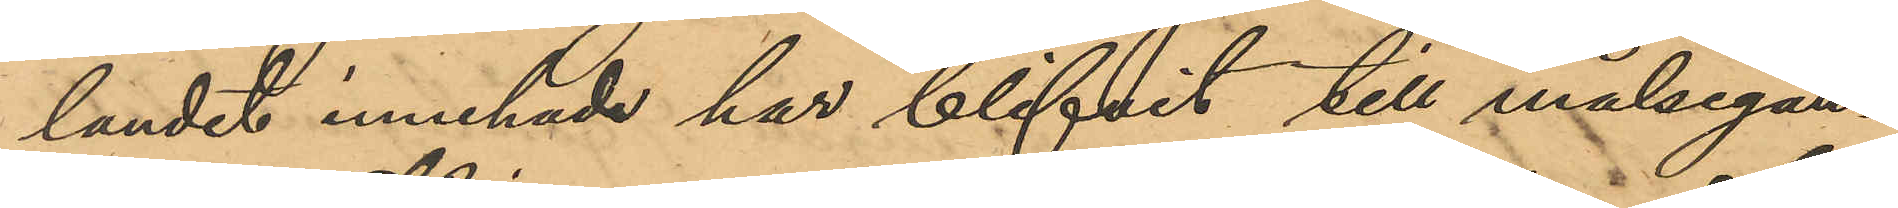landet innehade har blifvit till målsegan¬
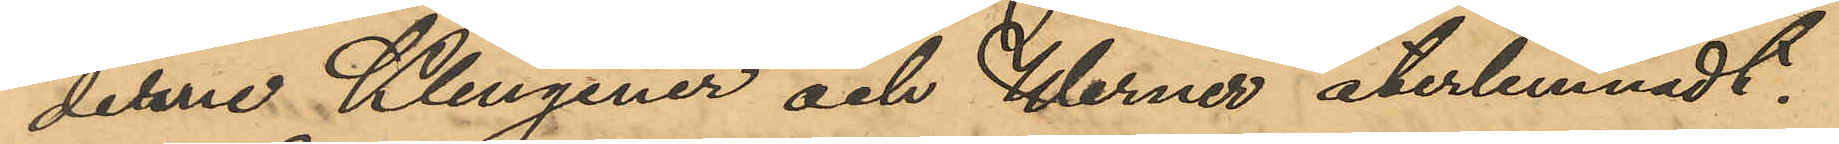derne Klingener och Werner återlemnadt.
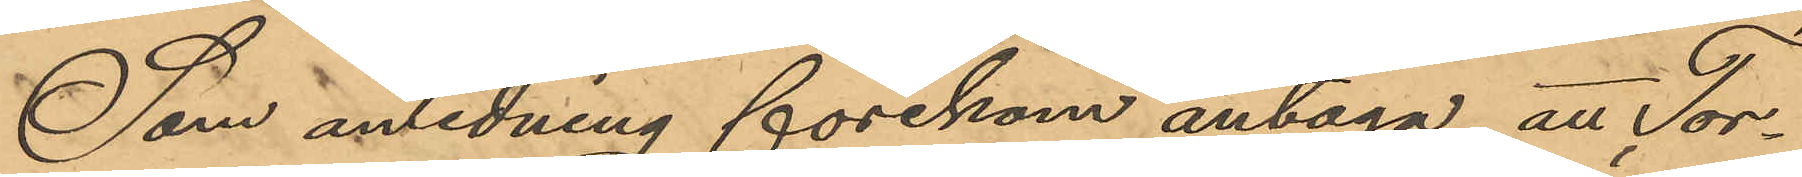Som anledning förekom antaga, att Tor¬
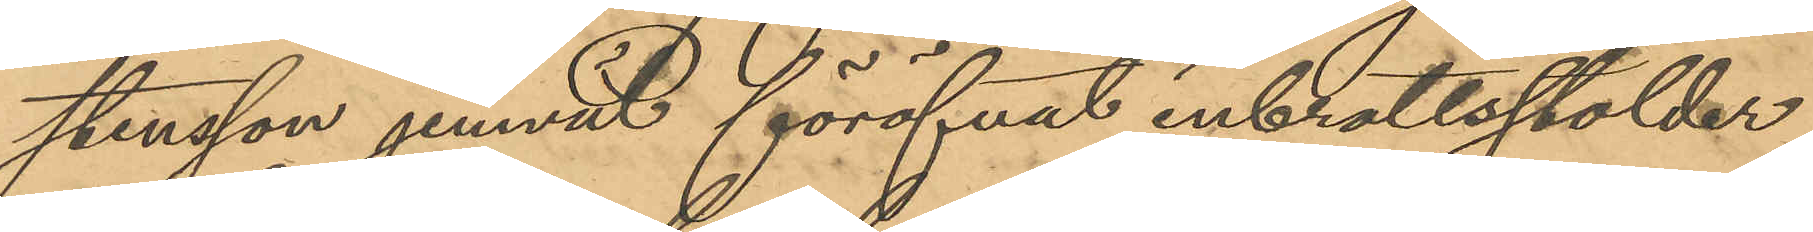stensson jemväl föröfvat inbrottsstölder
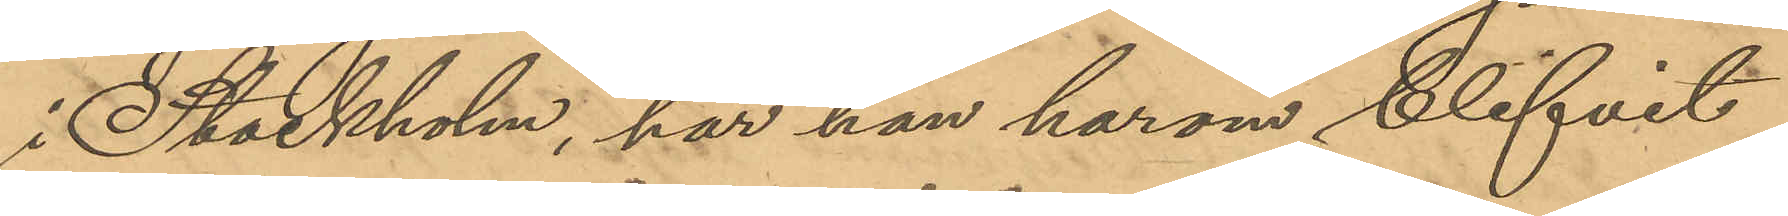i Stockholm, har han härom blifvit
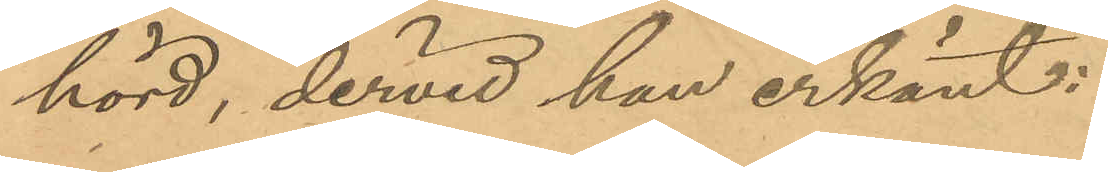hörd, dervid han erkänt:
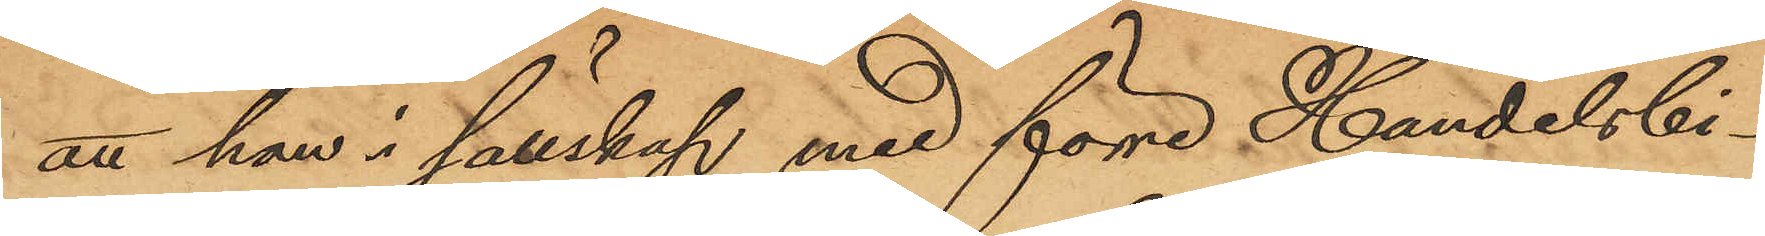att han i sällskap med förre Handelsbi¬
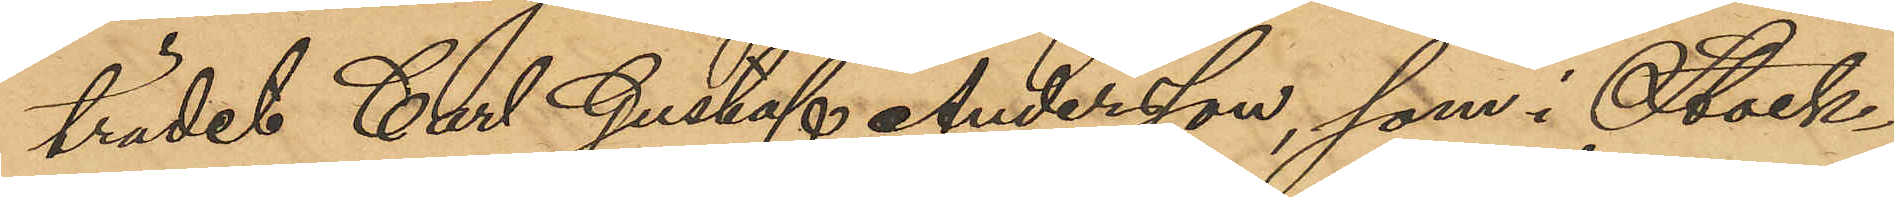trädet Carl Gustaf Andersson, som i Stock¬
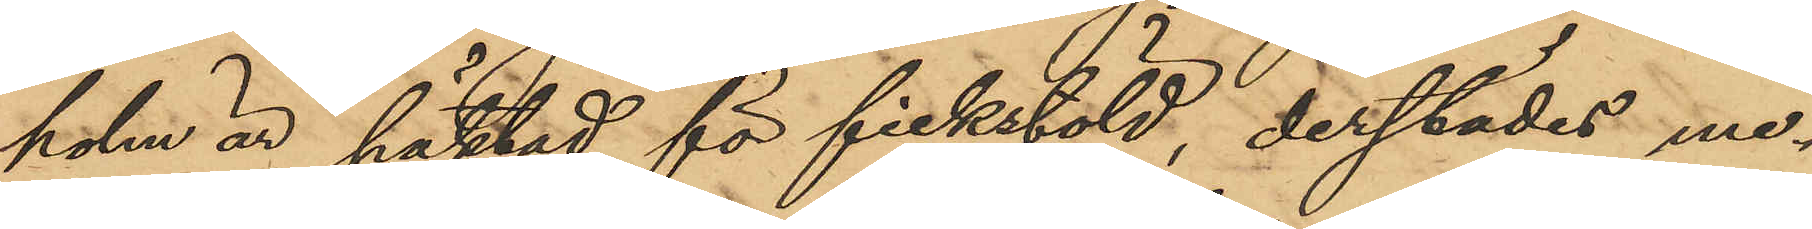holm är häktad för fickstöld, derstädes me¬
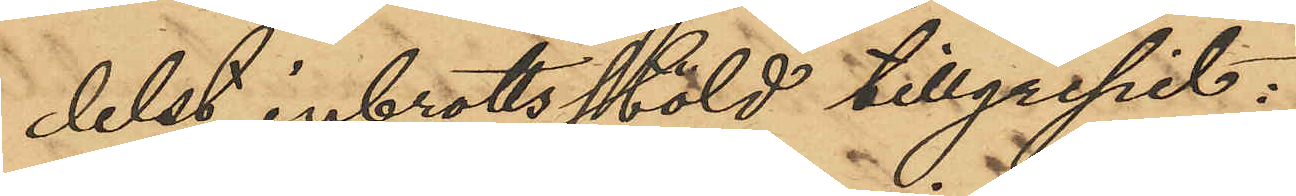delst inbrotts stöld tillgripit:
